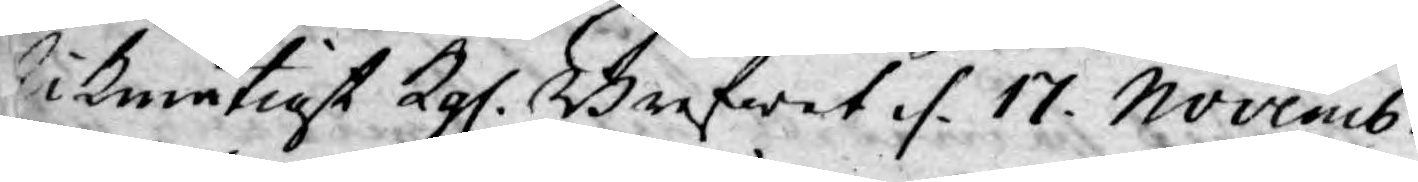Likmätigt Kgl. Brefwet. d. 17. Novemb.
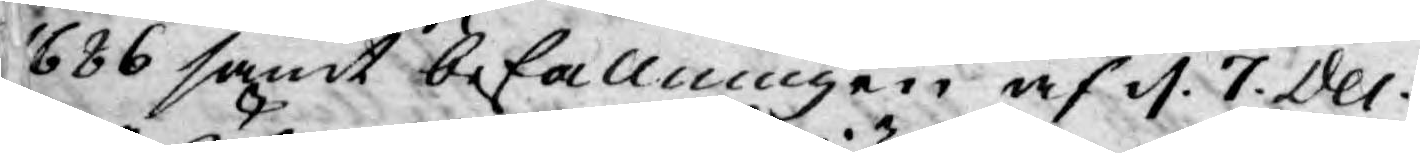1686 samt befallningen af d. 7. Dec.
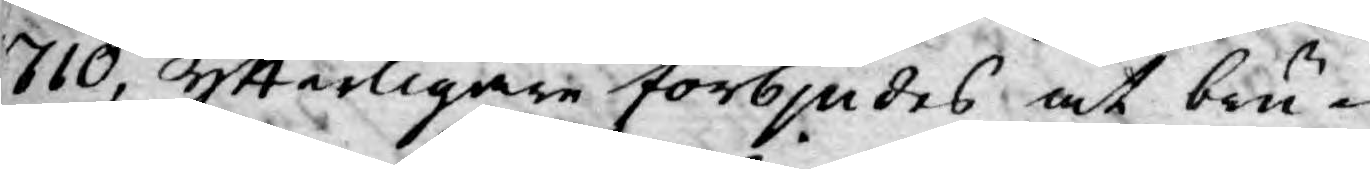1710, ytterligare förbjudes at biu¬
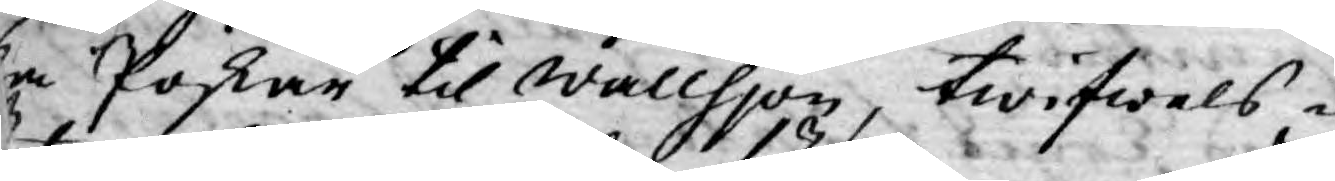da Pojkar til Wallhjon, twifwels¬
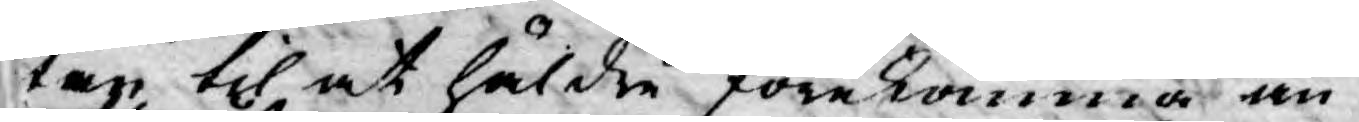utan til at häldre förekomma än
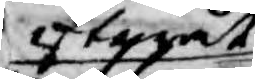efteråt
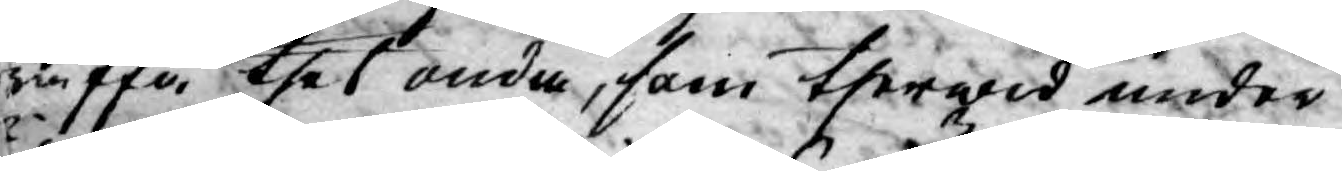träffa thet onda, som therwid under
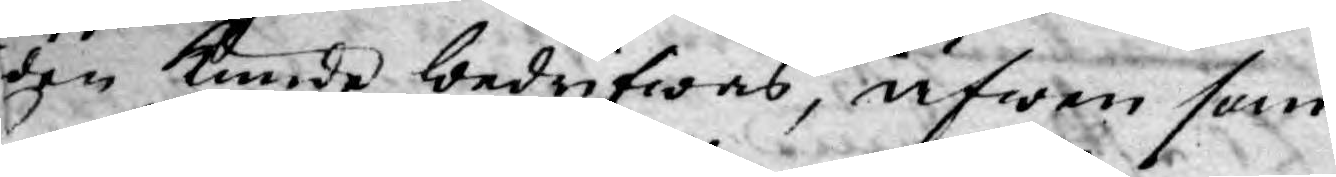tiden kunde bedrifwas, äfwen som
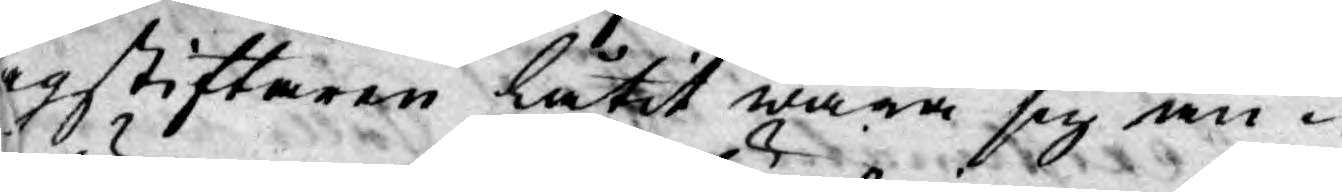Lagstiftaren låtit wara sig an¬
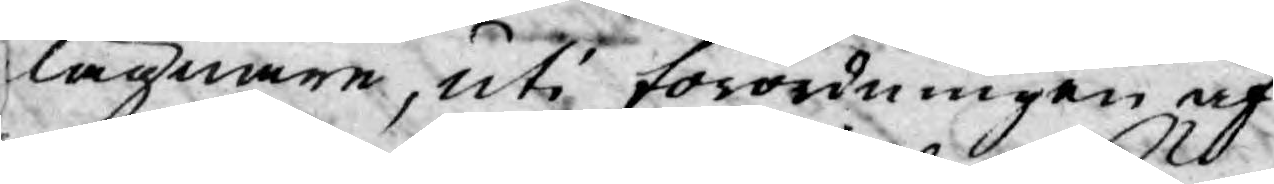gelägnare, uti förordningen af
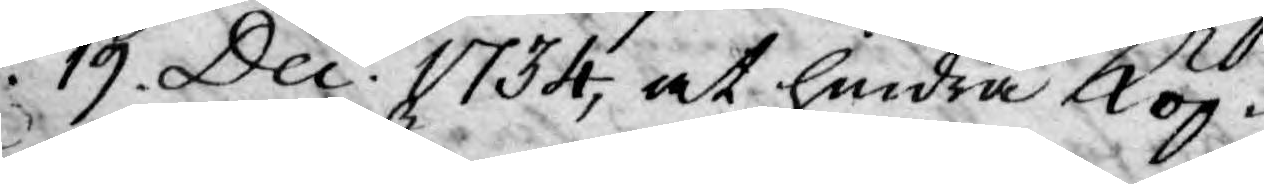d. 19. Dec. 1734, at hindra Köp¬
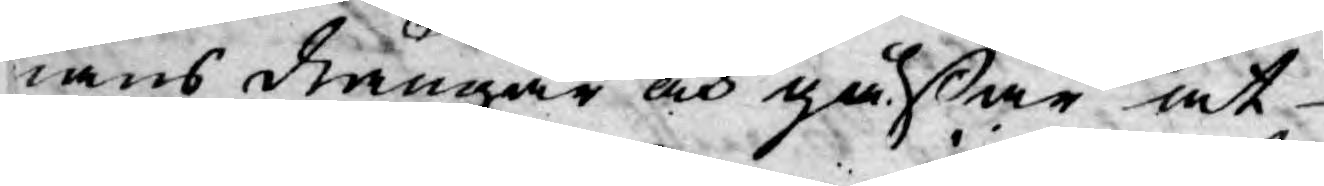mans drängar och gåßar at
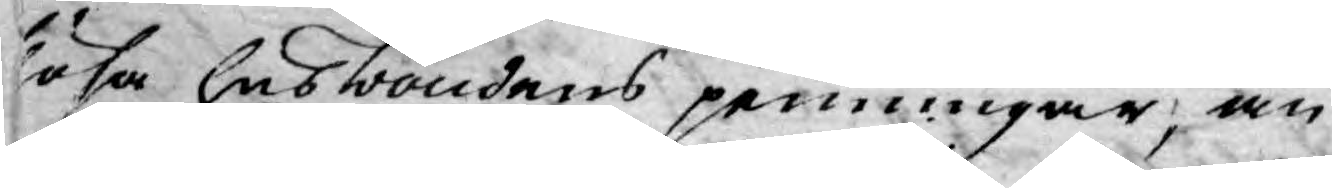slösa husbondens penningar, än
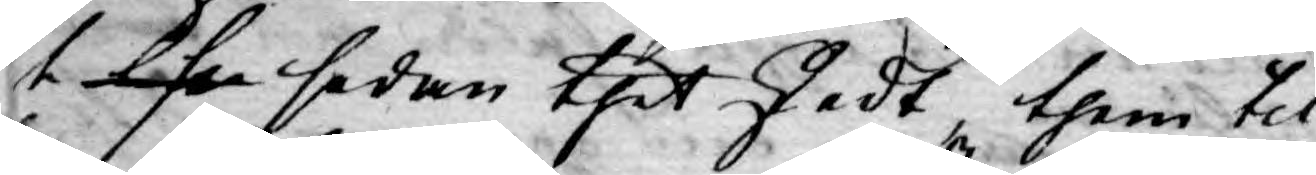t lsa sedan thet skedt, them til
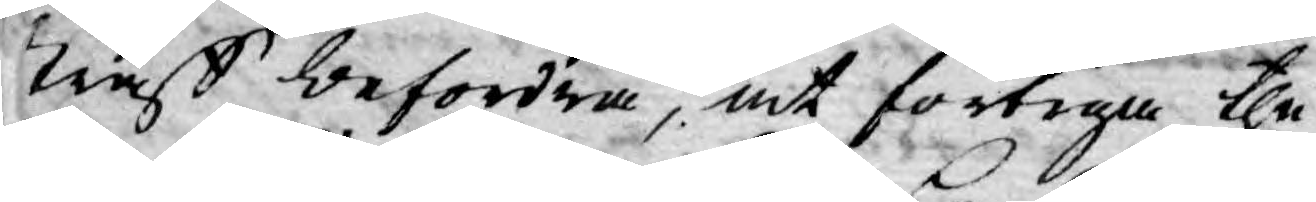straff befordra, at förtiga the
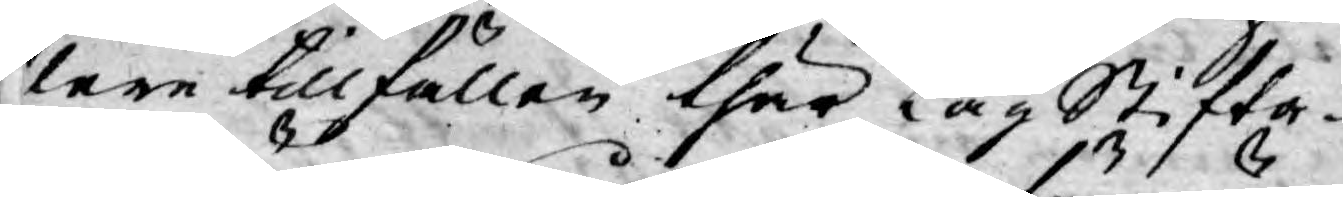flere tillfällen thär Lag Stifta¬
